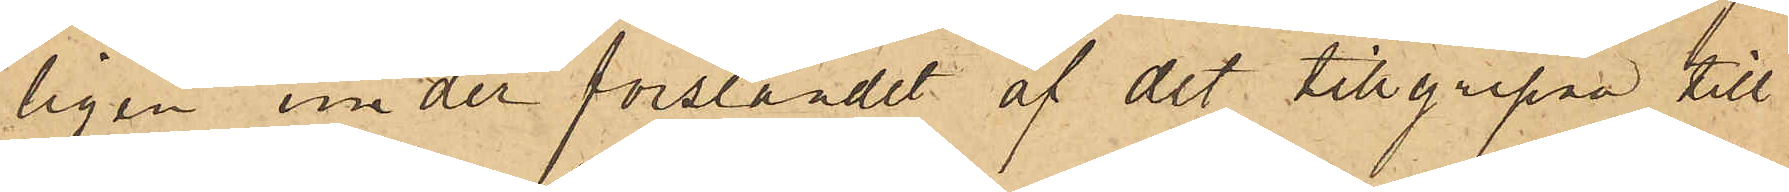ligen under forslandet af det tillgripna till
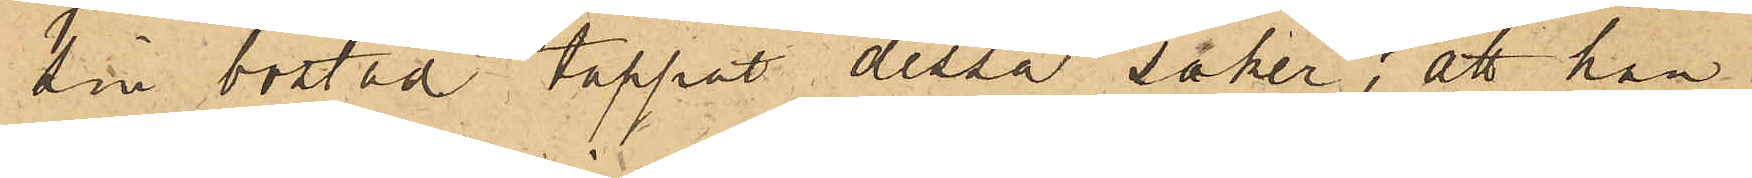sin bostad tappat dessa saker; att han
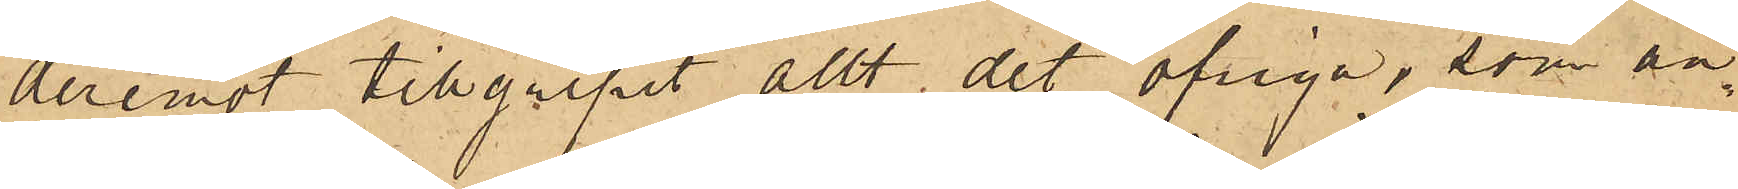deremot tillgripit allt det öfriga, som an¬
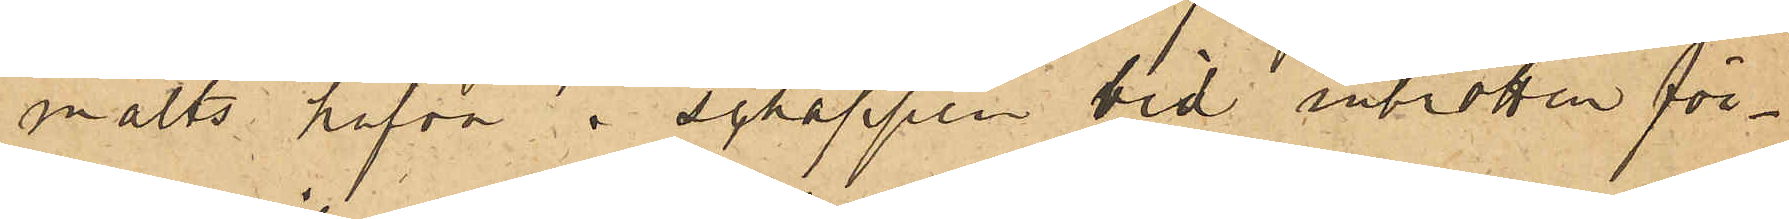mälts hafva i schappen vid inbrotten för¬
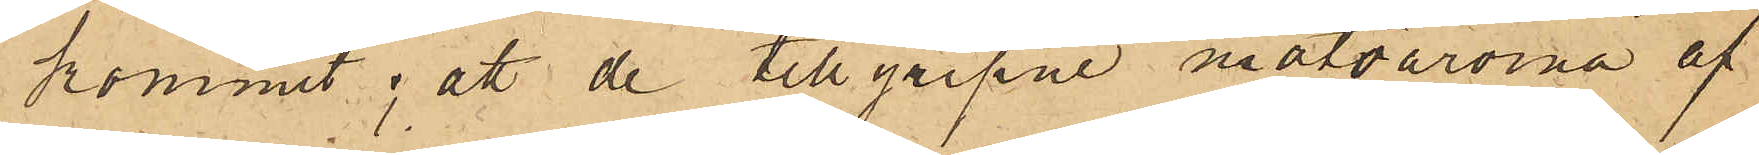kommit; att de tillgripne matvarorna af
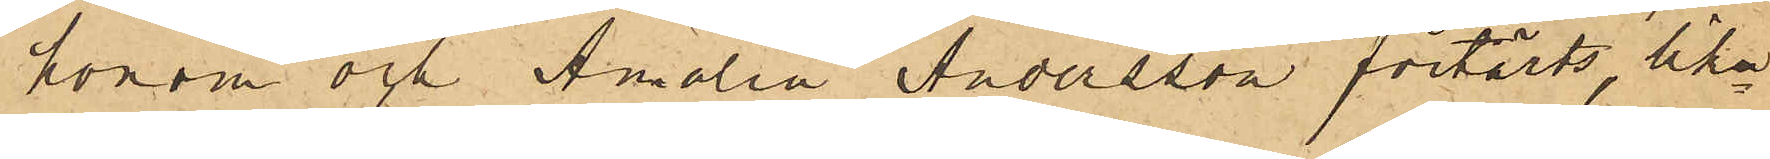honom och Amalia Andersson förtärts, lik¬
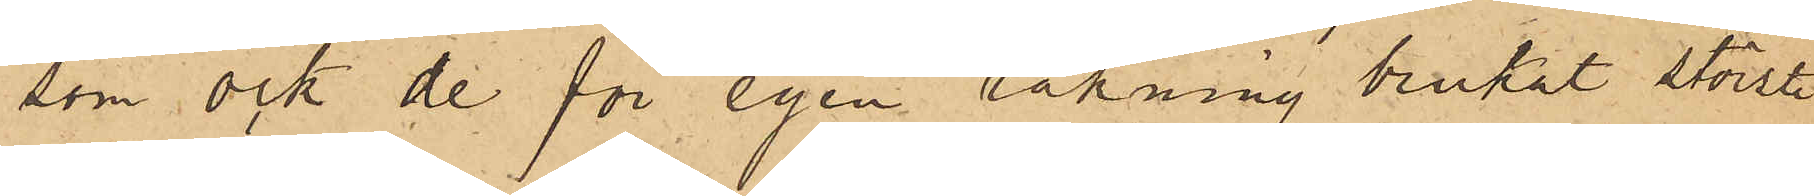som ock de för egen räkning brukat största
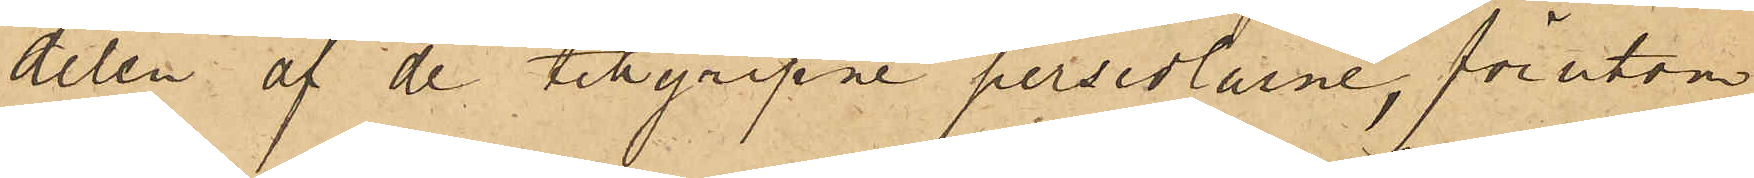delen af de tillgripne persedlarne, förutom
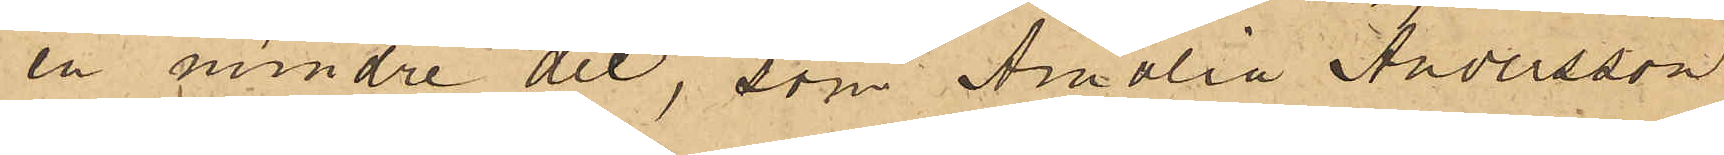en mindre del, som Amalia Andersson
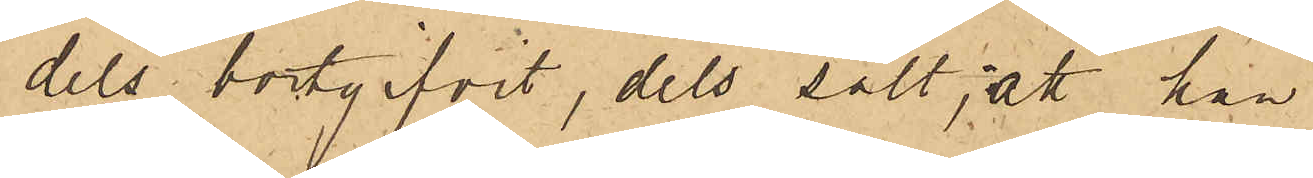dels bortgifvit, dels sålt; att han
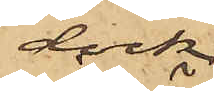dock
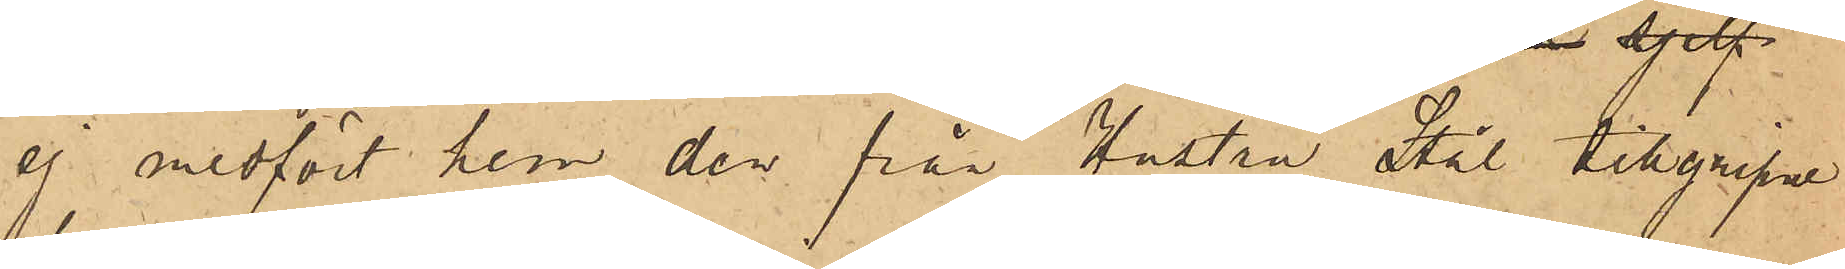ej medfört hem den från Hustru Stål tilgripne
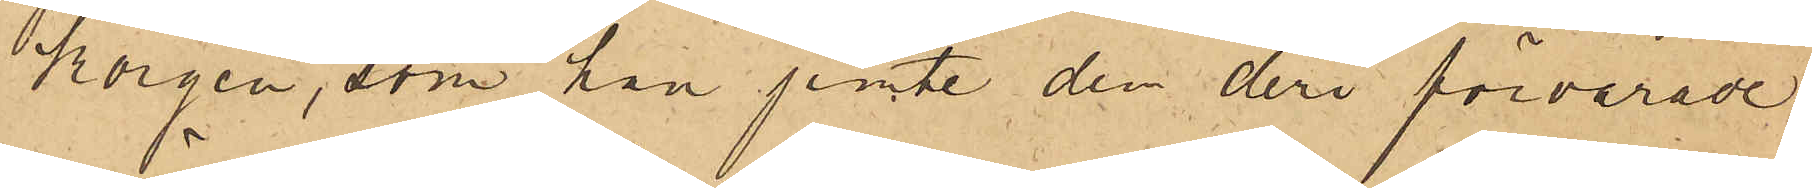korgen, som han jemte den deri förvarade
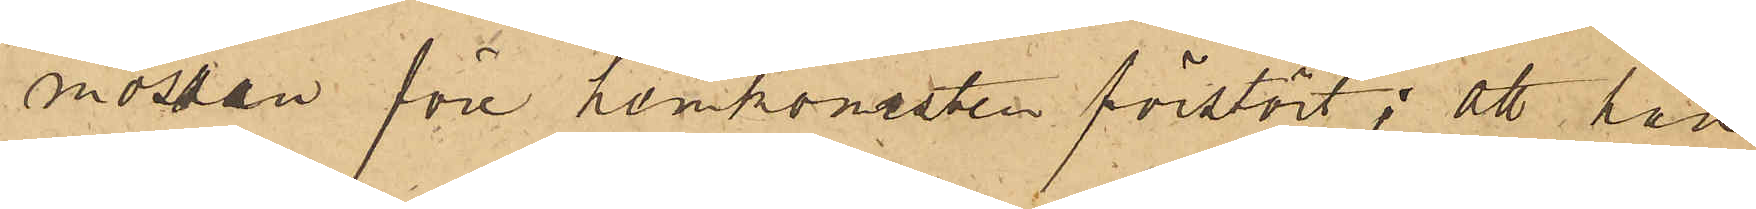mössan före hemkomsten förstört; att han
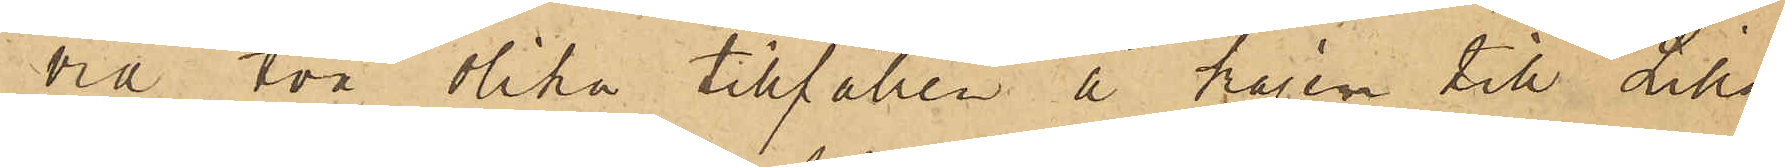vid två olika tillfällen å kajen till Lilla
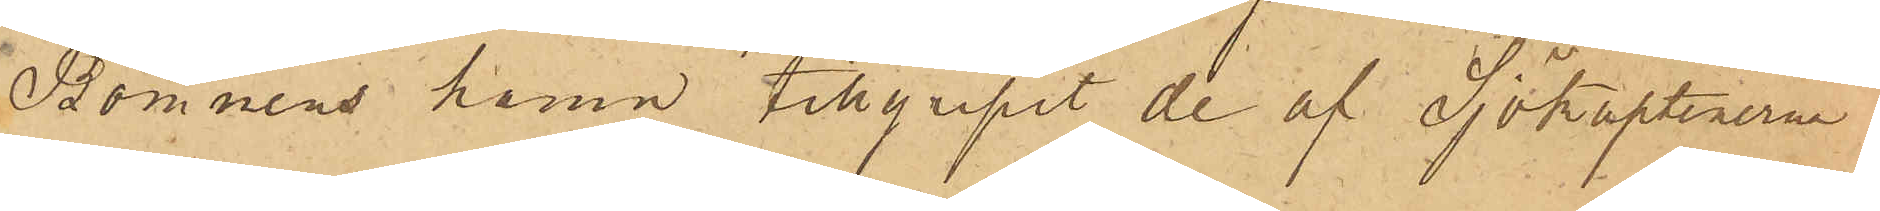Bommens hamn tillgrpit de af Sjökaptenerna
